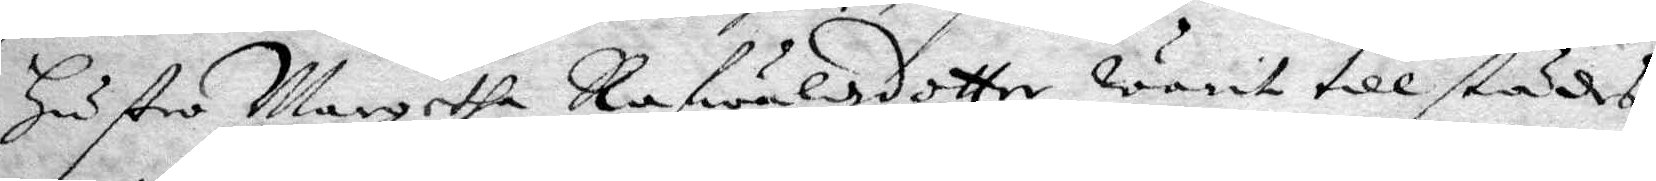Hustro Margetha Rafwaldzdotter warit tillstädes,
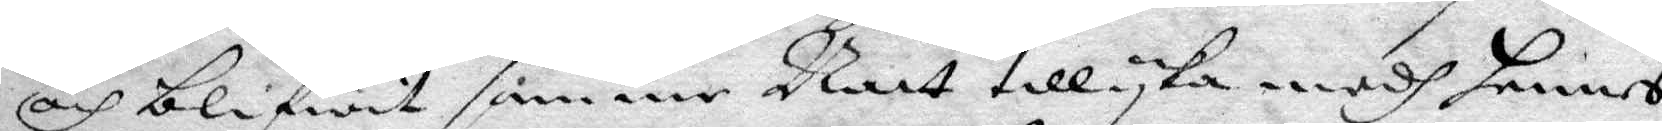och blifwit samme natt tillyka medh hennes
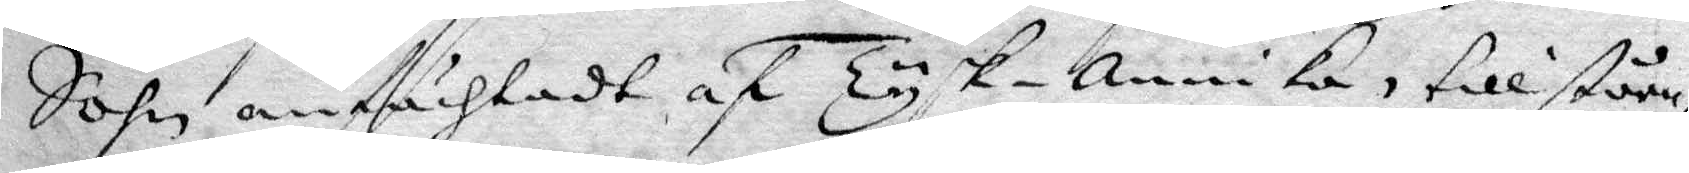Sohn anfächtadt af Tysk-annika, tillståen¬
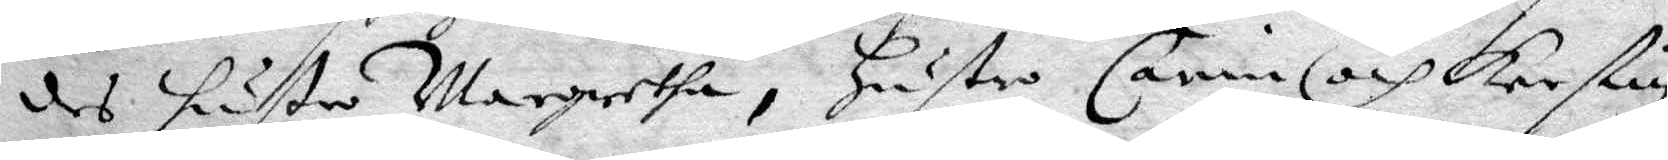des Hustru Margretha, Hustru carin och Kerstin
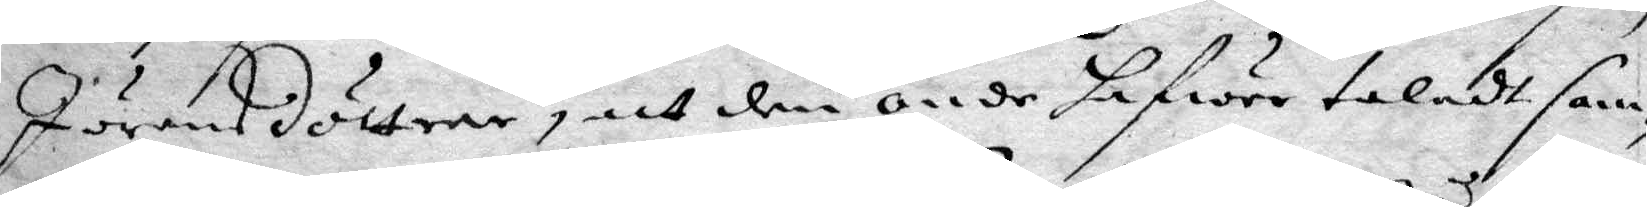Jöransdotter, att den onde hafwer takadt sam¬
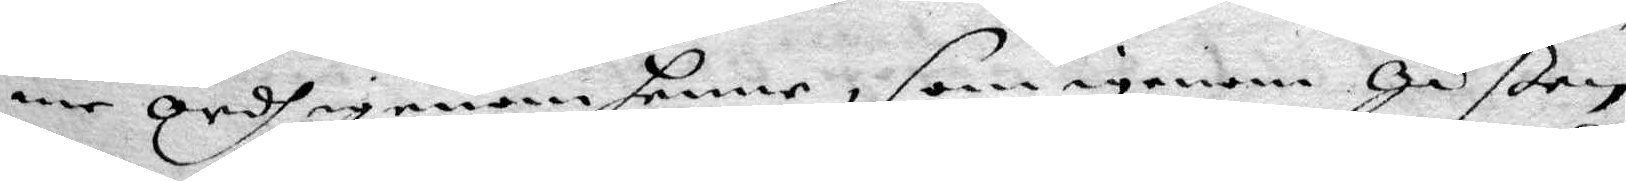me ordh igenom henne, som igenom Gåßen
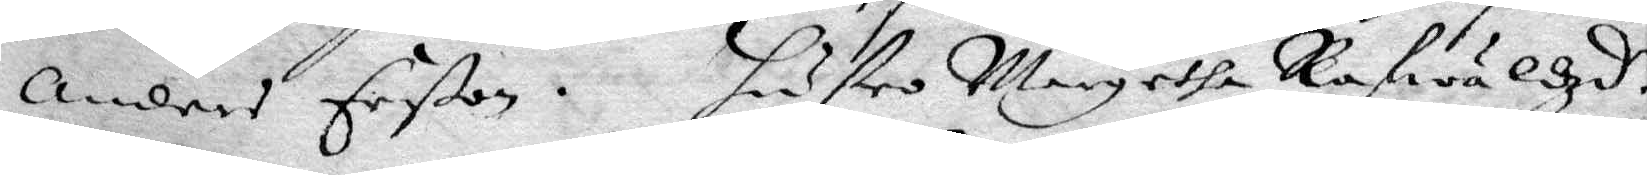Anders erßon, Hustru Margetha Rafwaldzd.r
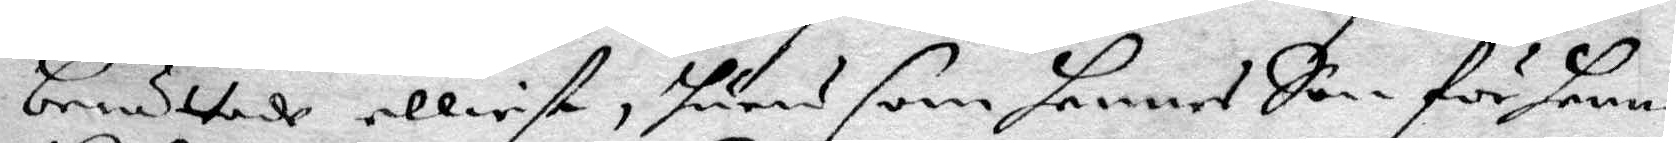berättade elliest, huru som hennes Son för henne
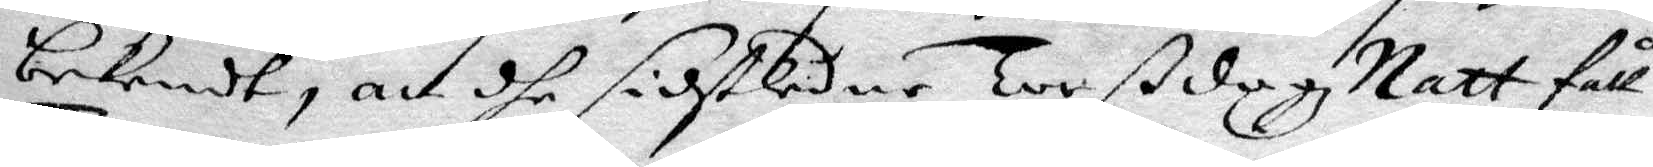bekendt, att dhe sidstledne Torßdagz Natt fått
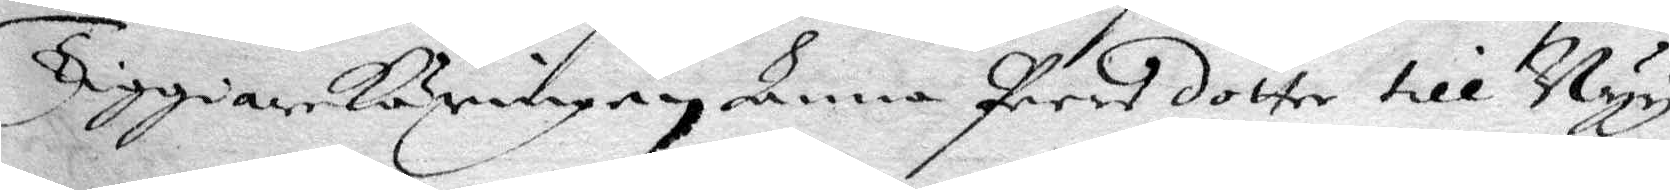TiggareKäringen Anna Peersdotter till Nyy
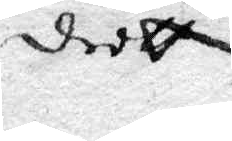dedtt
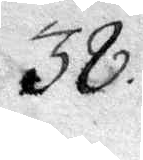38.
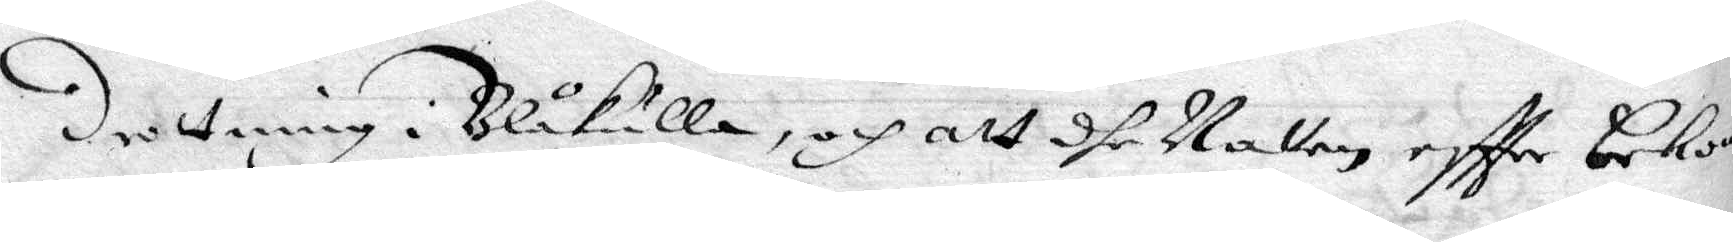drottningi Blåkulla, och att dhe Natten eftter bekom¬
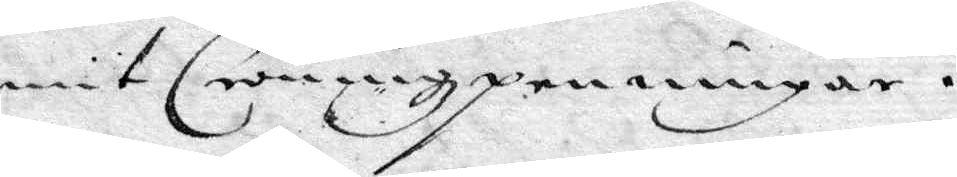mit Cröningzpenningar.
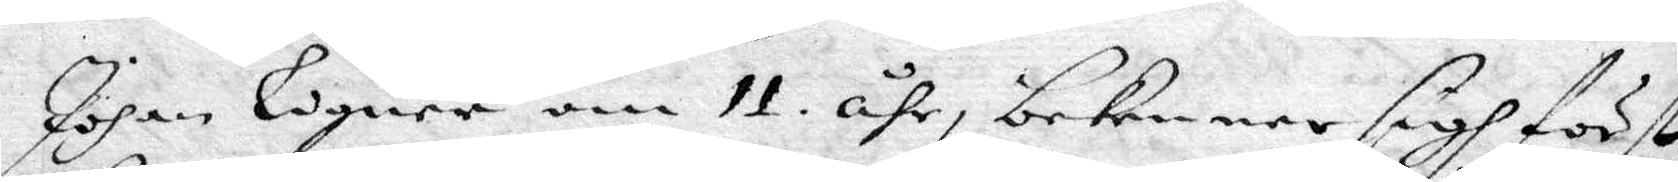Johan Logner om 11 åhr, bekenner sigh först
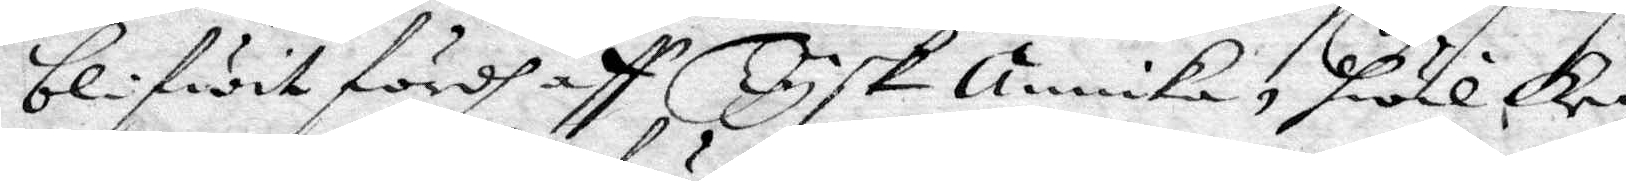blifwit fördh aff Tysk annika, hwilken
